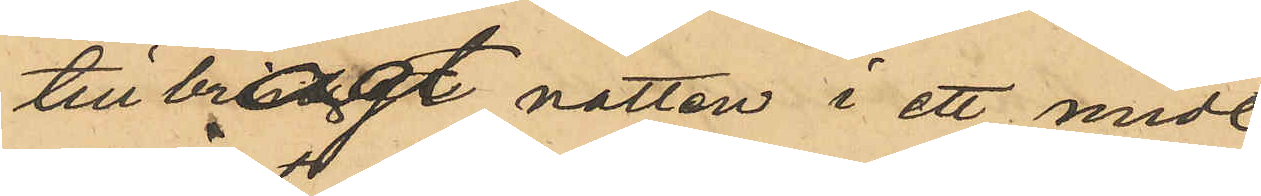tillbragt natten i ett midt
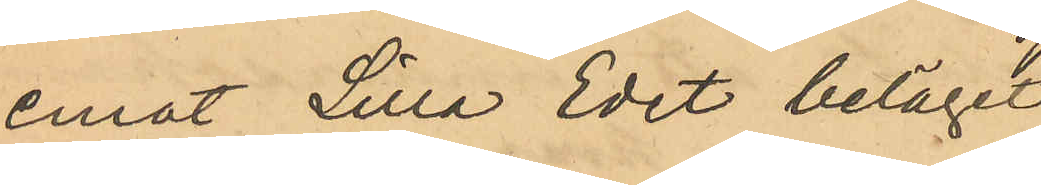emot Lilla Edet beläget
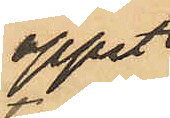öppet
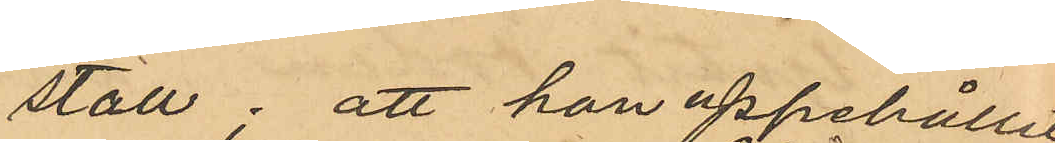stall; att han uppehållit
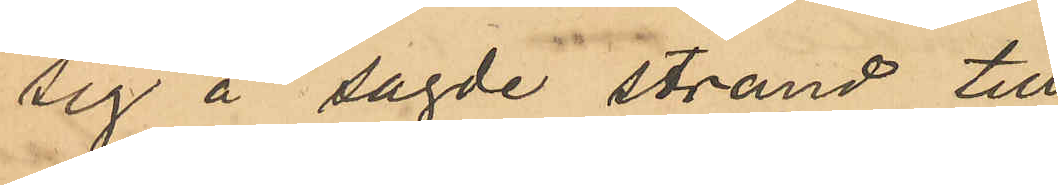sig å sagde strand till
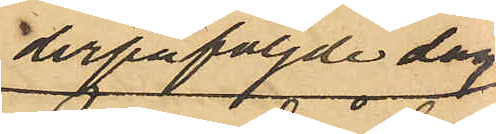derpåföljde dag
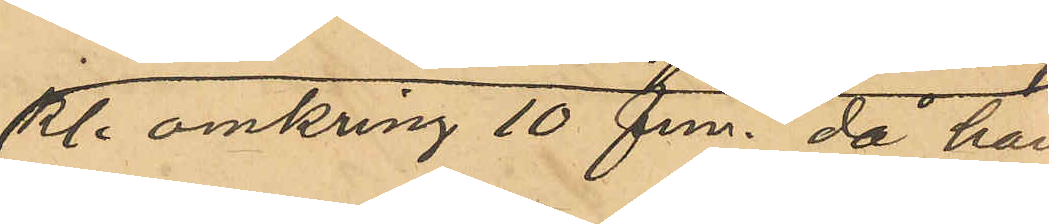Kl. omkring 10 fm. då han
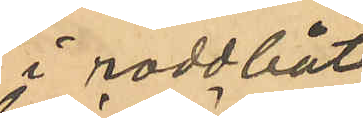i roddbåt
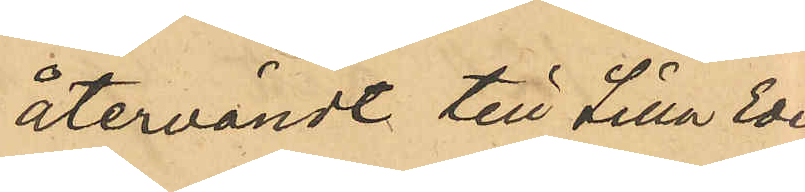återvändt till Lilla Edet
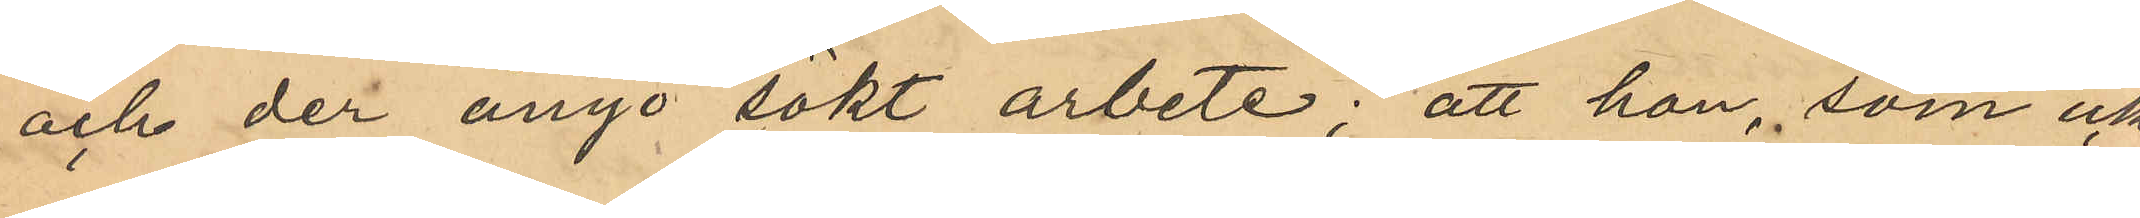och der ånyo sökt arbete; att han, som icke
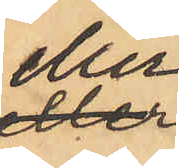eller
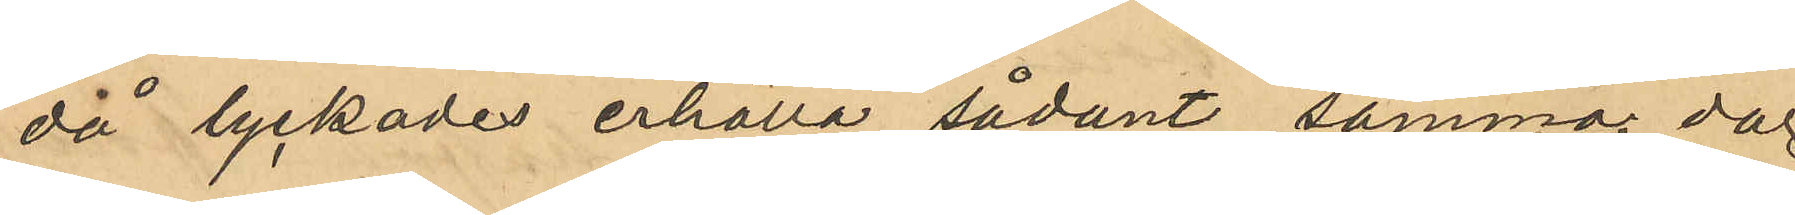då lyckades erhålla sådant samma dag
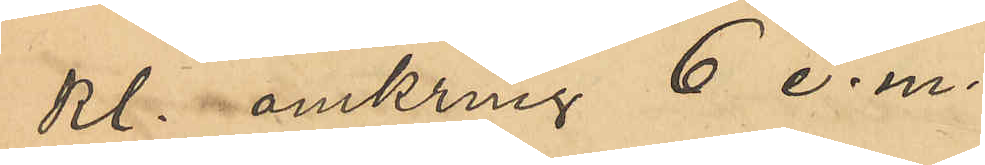Kl omkring 6 e. m. 
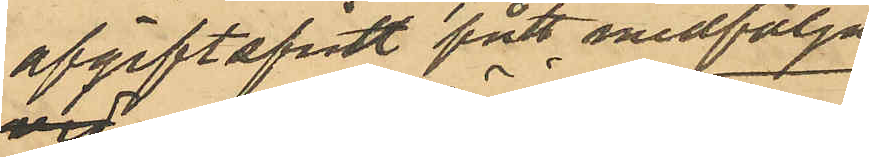afgiftsfritt fått medfölja
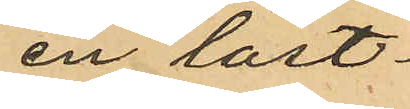en last¬
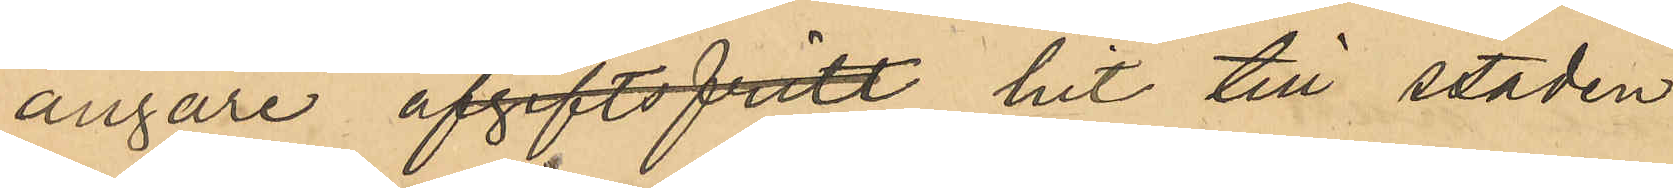ångare afgiftsfritt hit till staden
